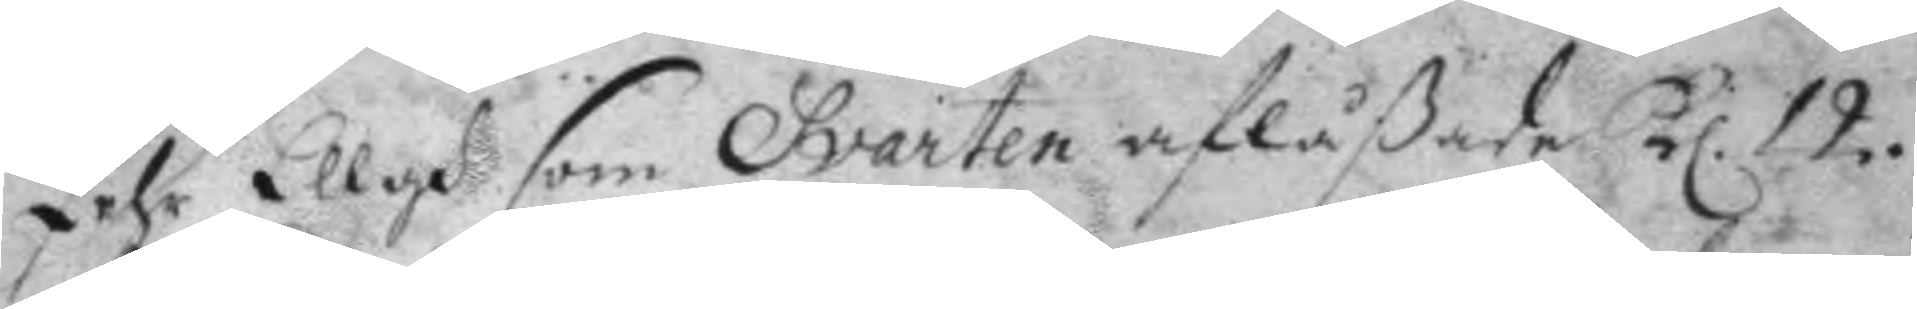Pehr Ellgh som Svarten aflåßade kl. 12.
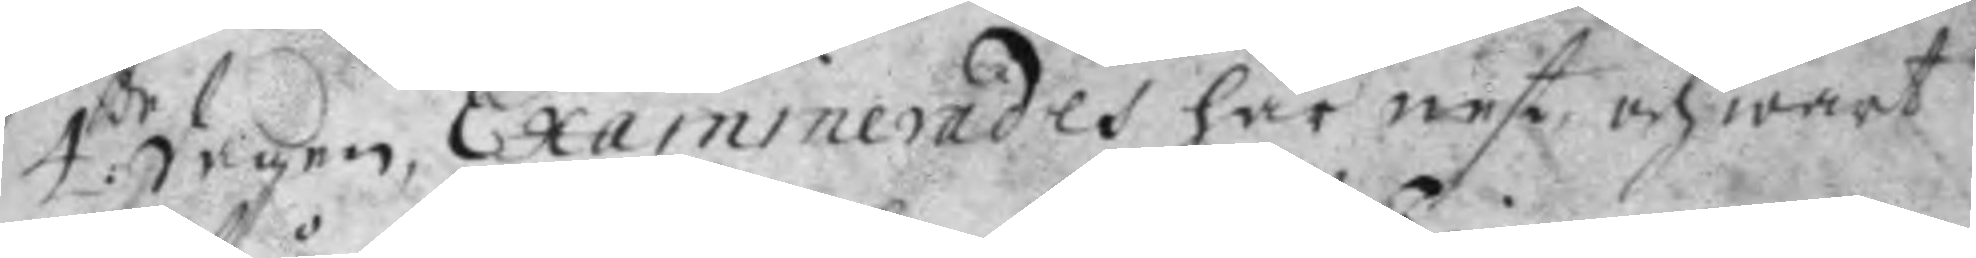4:de dagen, Examinerades här nest och wart
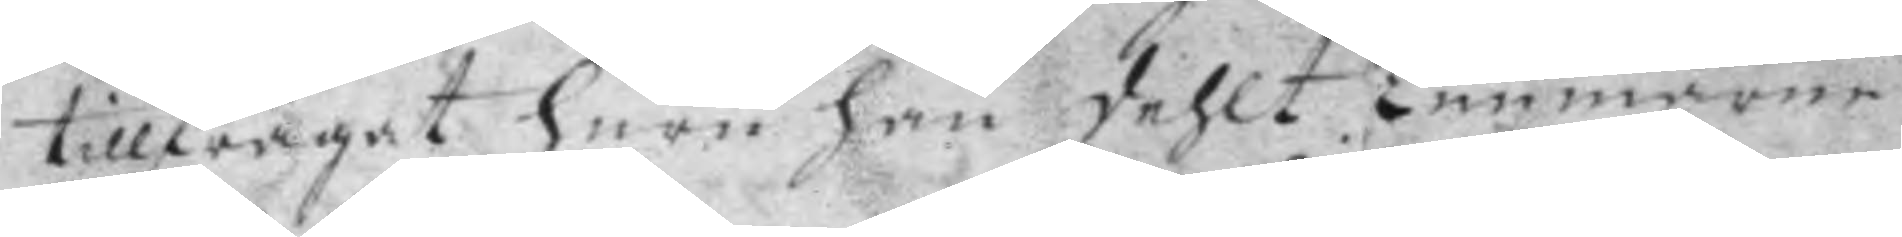tillfrågat huru han dehlt Timmarne
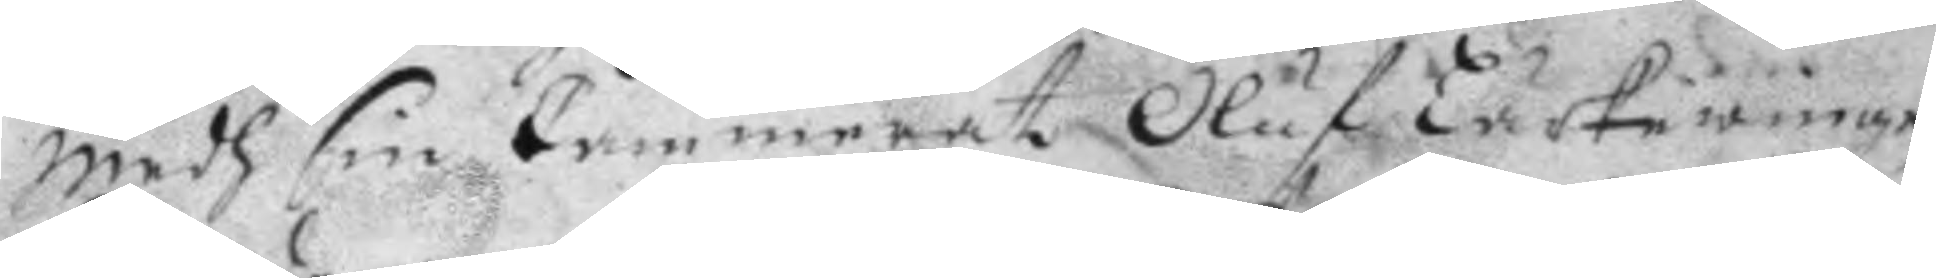medh sin Cammerat Oluf Lärkewinge
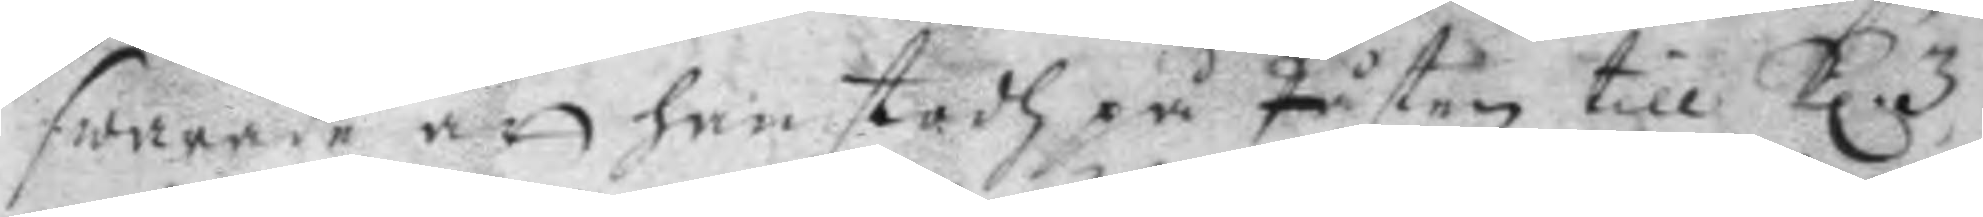swarade att han stodh på Påsten till kl. 3
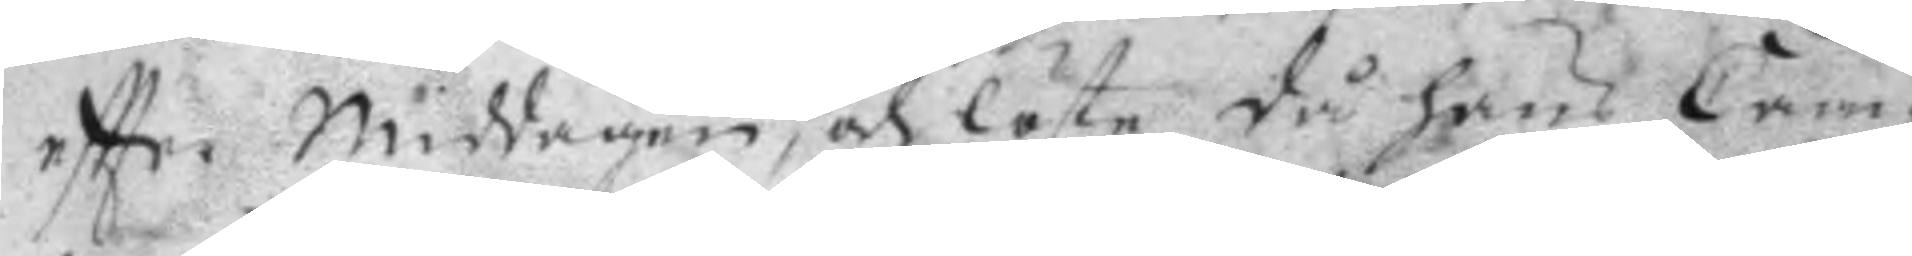eftter middagen, och löste då hans Cam¬
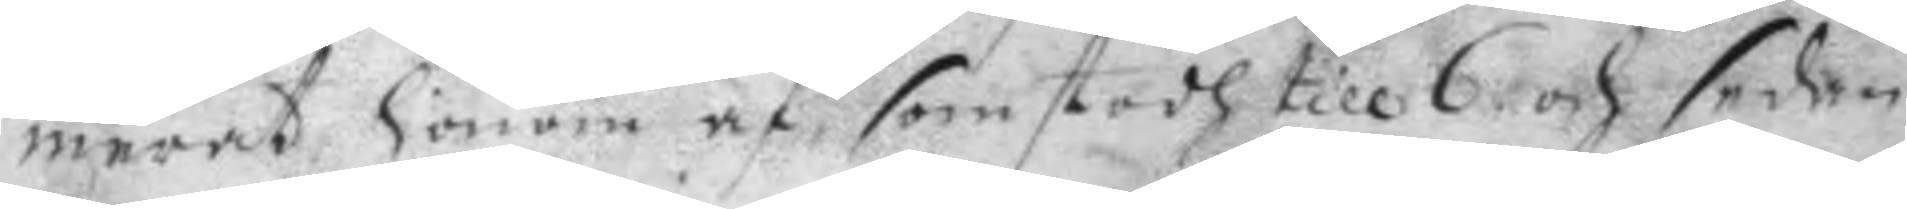merat honom af som stodh till 6 och sedan
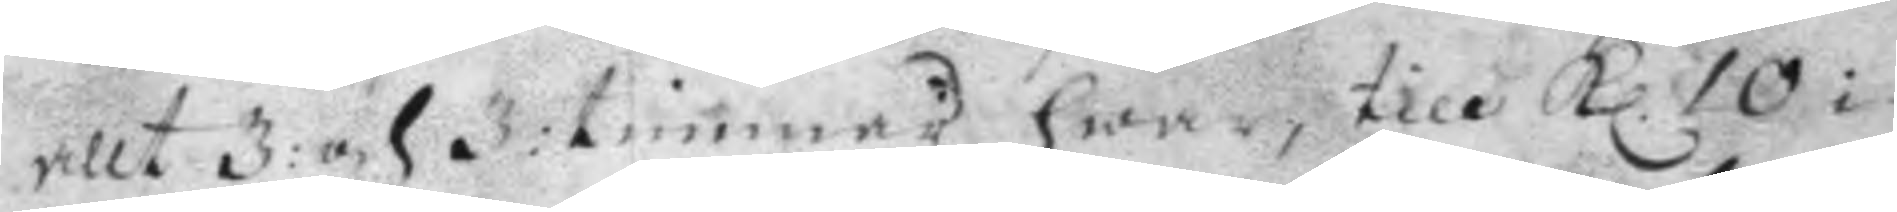allt 3: och 3: timmar hwar, till kl. 10 i
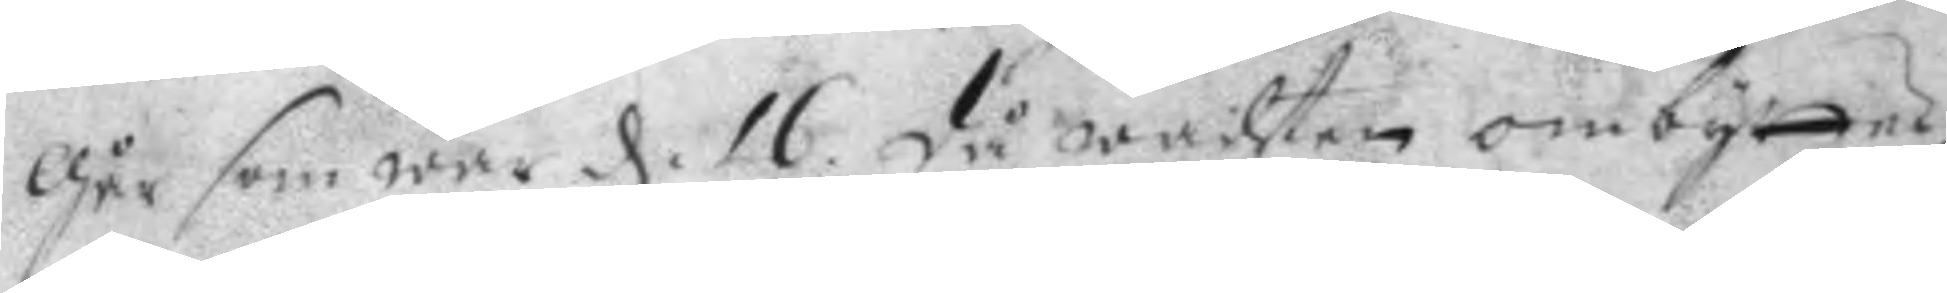går som war d. 16 då wachten ombyttes,
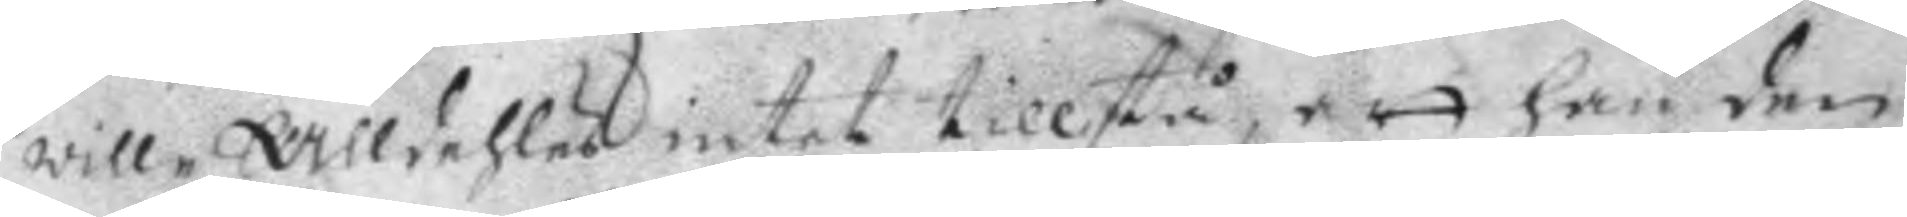will alldehles intet tillstå, att han den
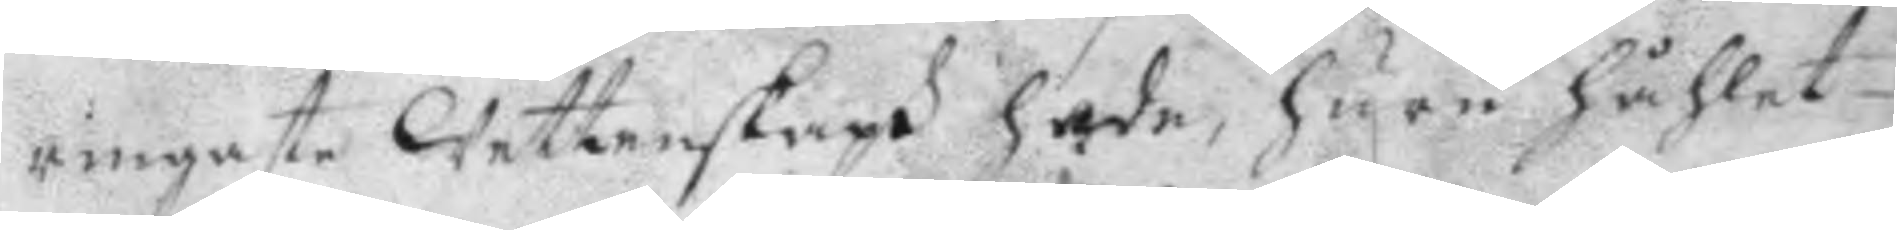ringaste Wettenskaph hade, huru håhlet
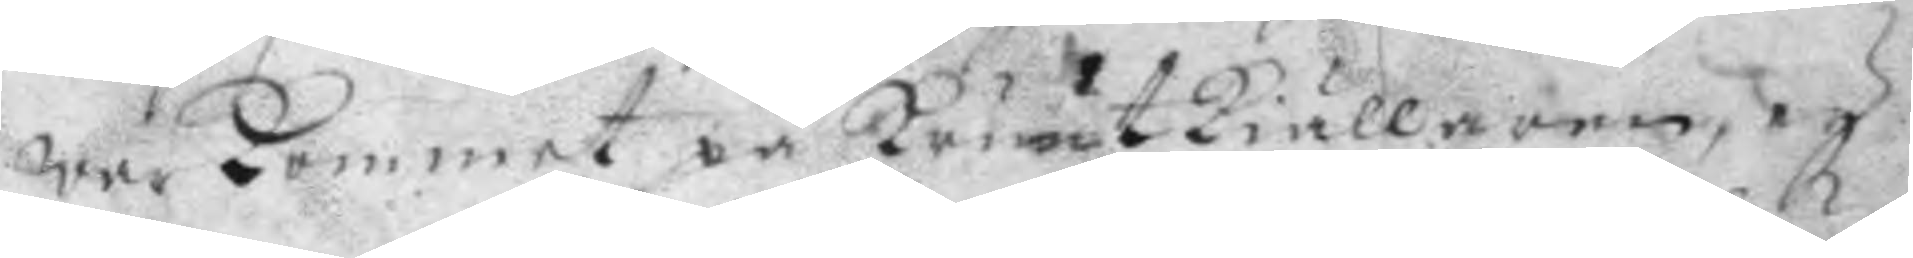war kommer på kruutkiällaren, ey
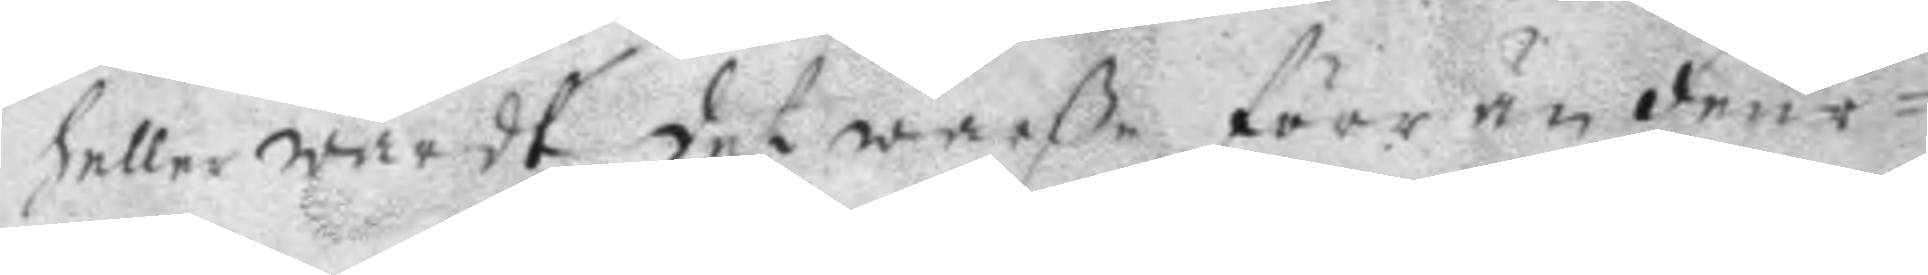heller wardt det warße förr än feur¬
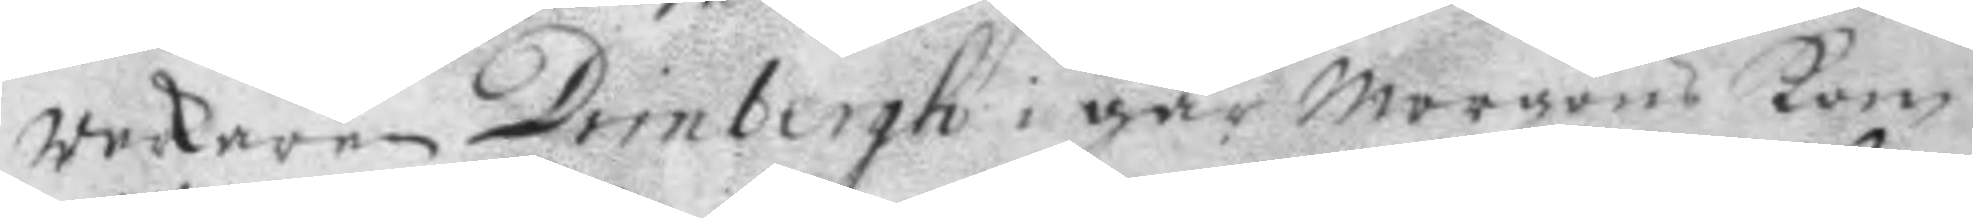werkaren Drinberh i går morgons kom
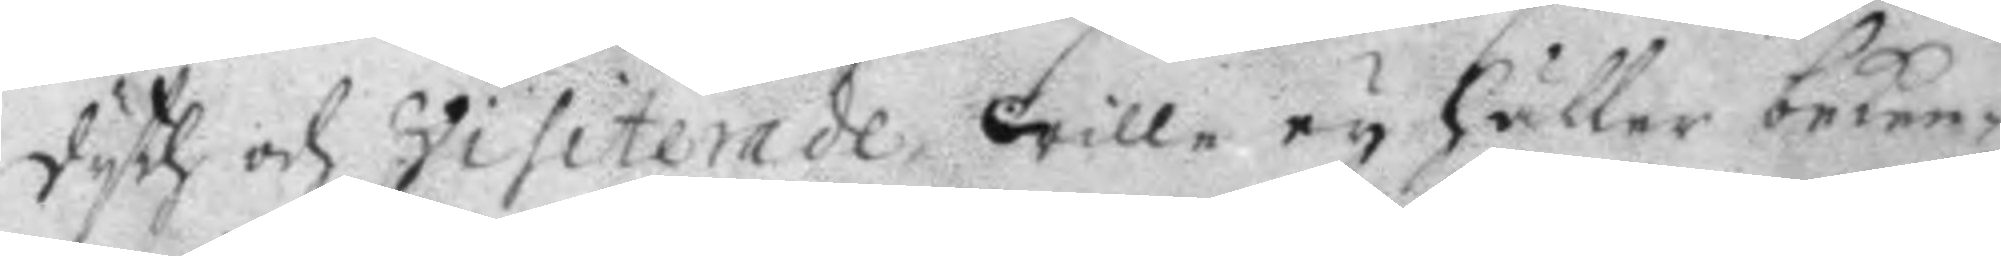dyth och visiterade, wille ey heller beken¬
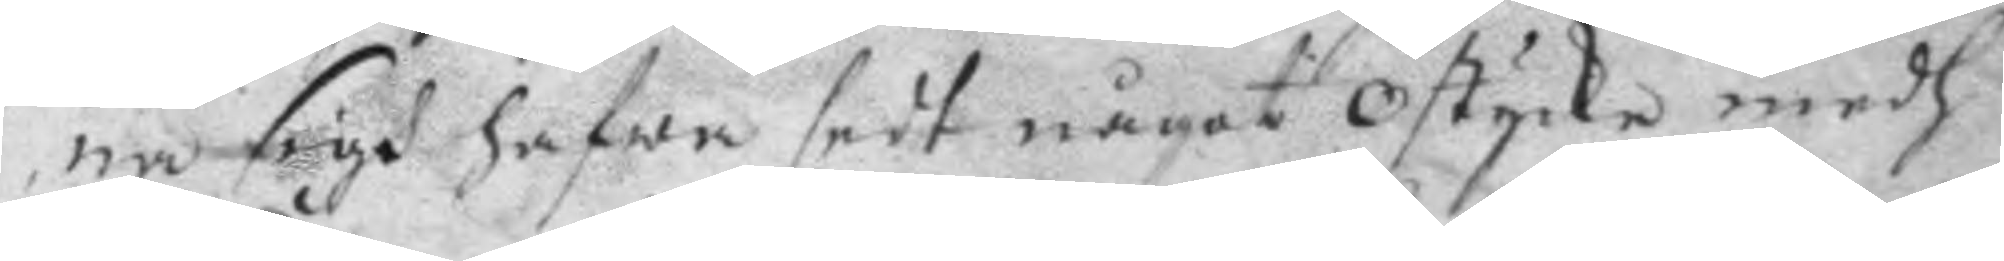na sigh hafwa sedt något ostycke medh
